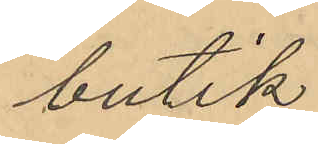butik
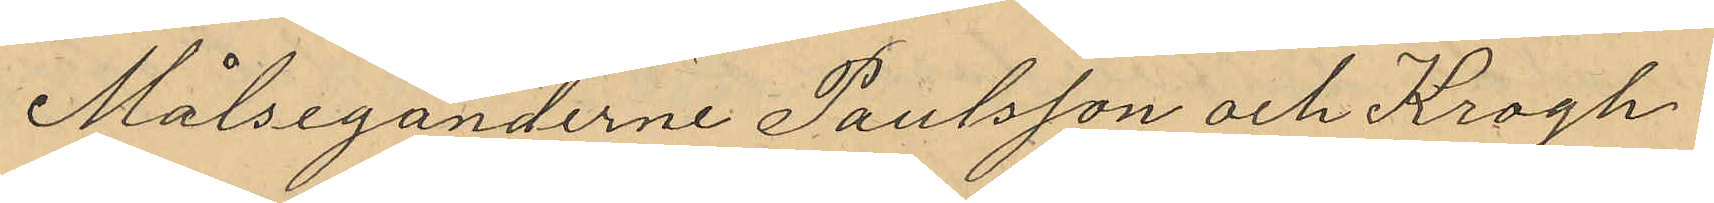Målseganderne Paulsson och Krogh,
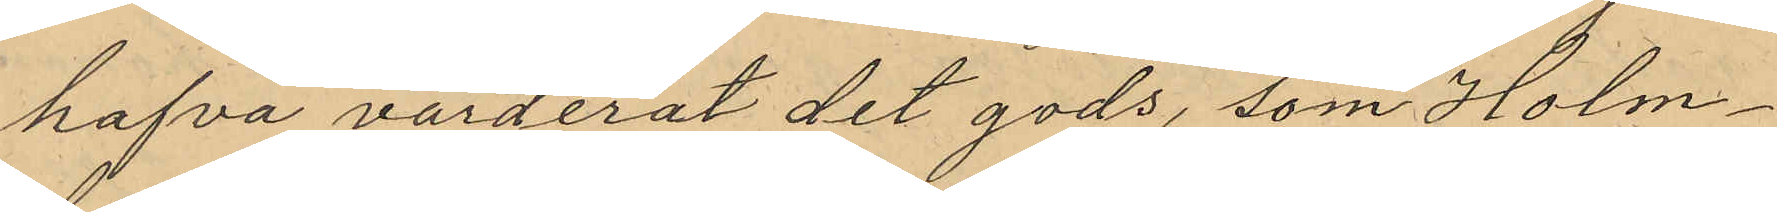hafva värderat det gods, som Holm¬
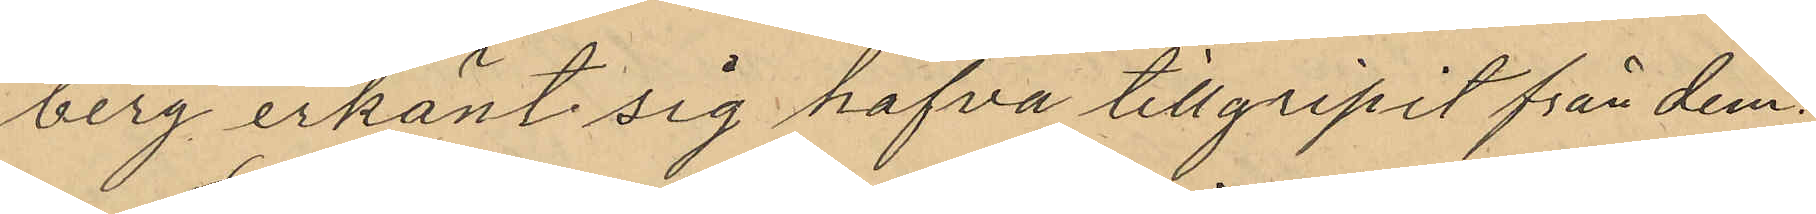berg erkänt sig hafva tillgripit från dem:
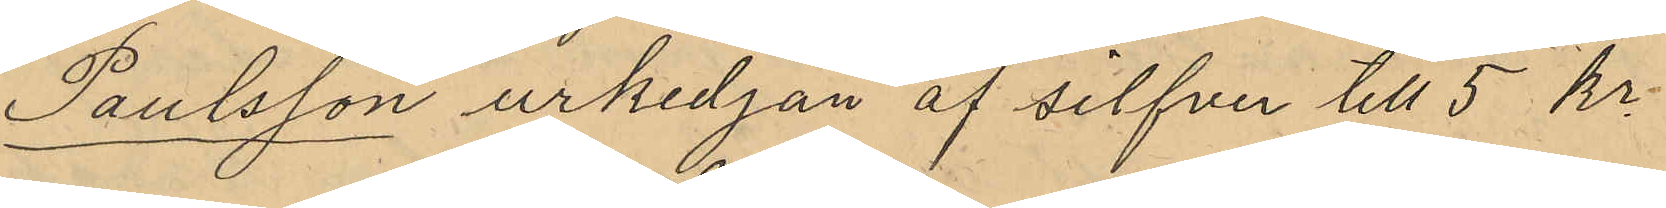Paulsson urkedjan af silfver till 5 kr.
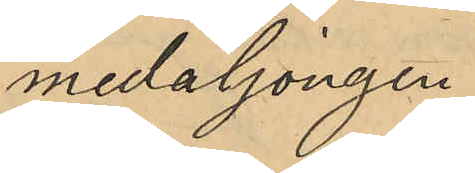medaljongen
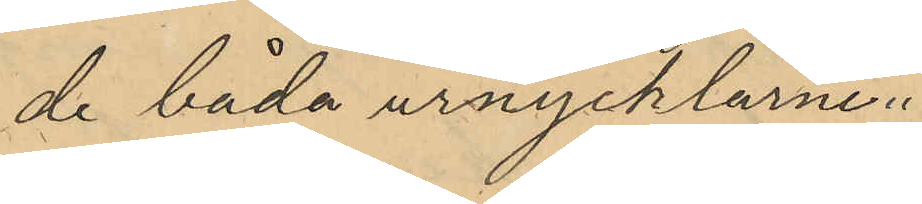de båda urnycklarne
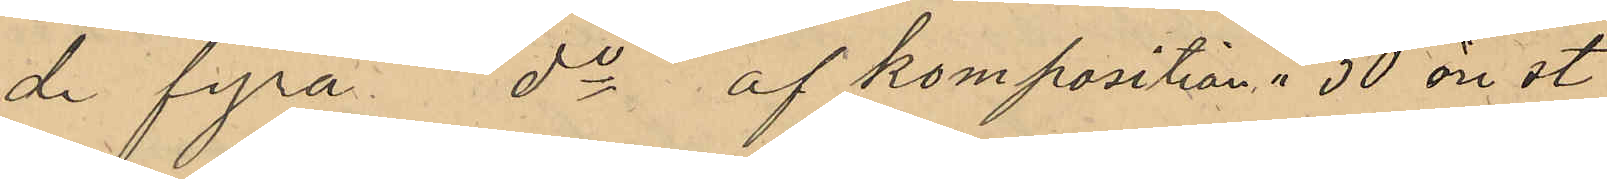de fyra do af komposition 50 öre st
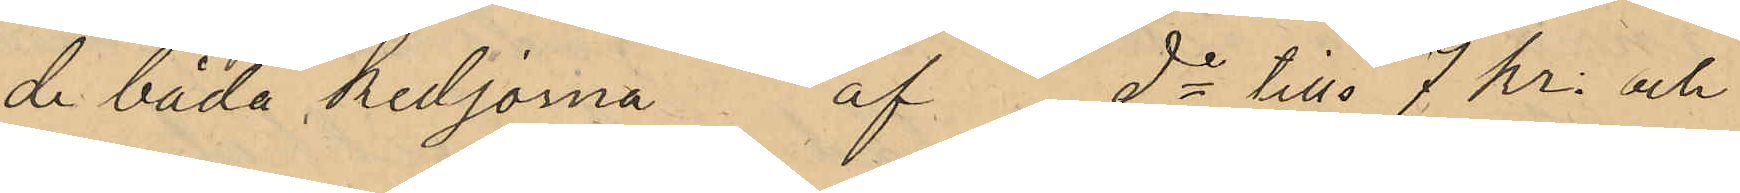de båda kedjorna af do till 7 kr. och
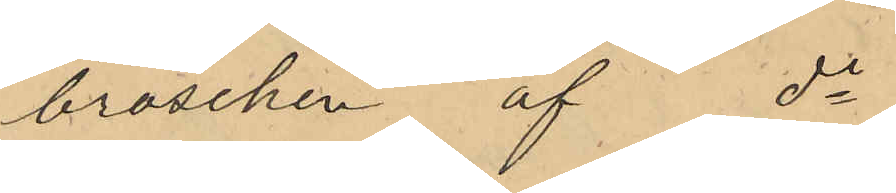broschen af do
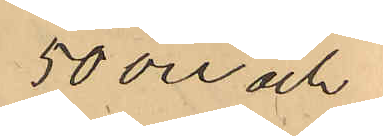50 öre och
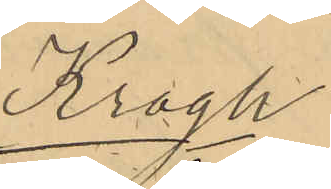Krogh
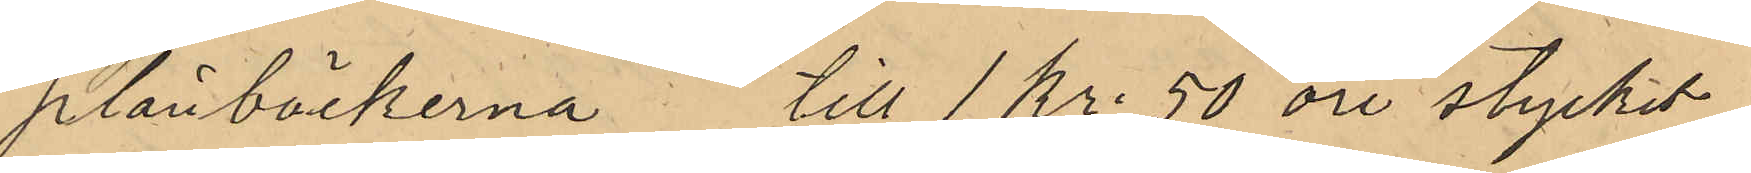plånböckerna till 1 Kr. 50 öre stycket
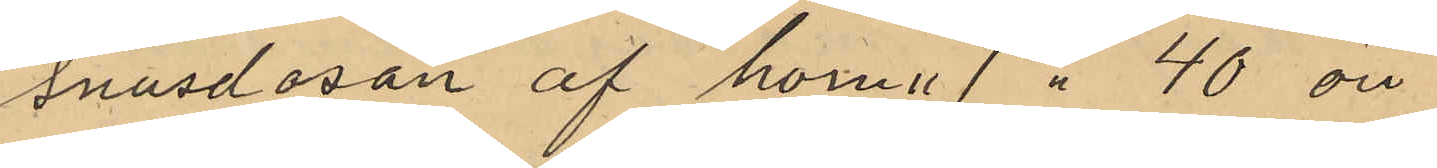snusdosan af horn " 40 öre
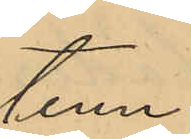tenn
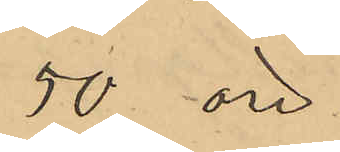50 öre
